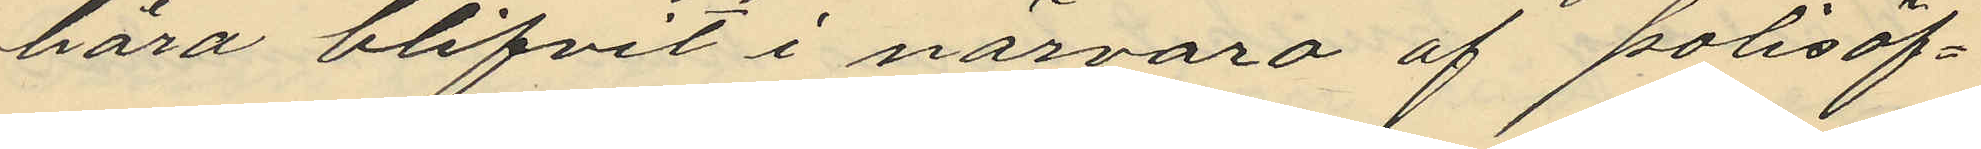höra blifvit i närvaro af polisöf¬
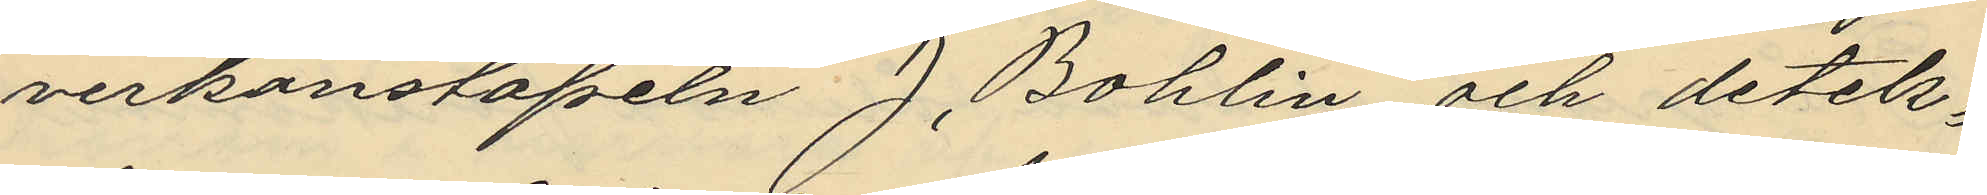verkonstapeln J. Bohlin och detek¬
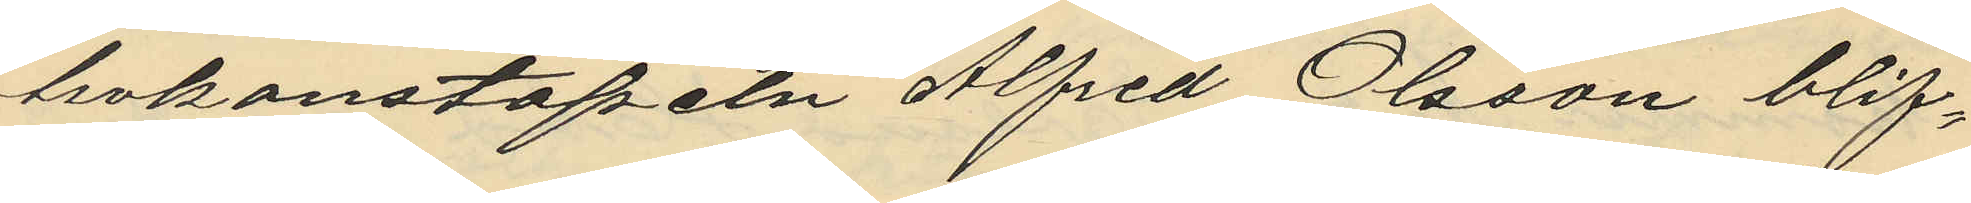tivkonstapeln Alfred Olsson blif¬
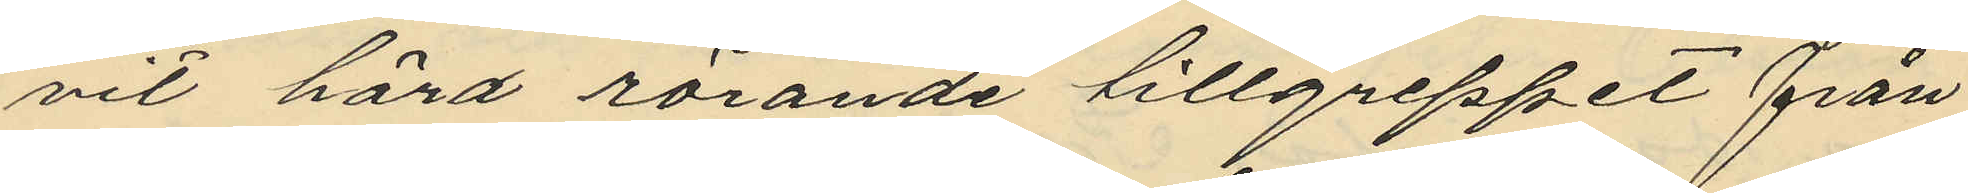vit hörd rörande tillgreppet från
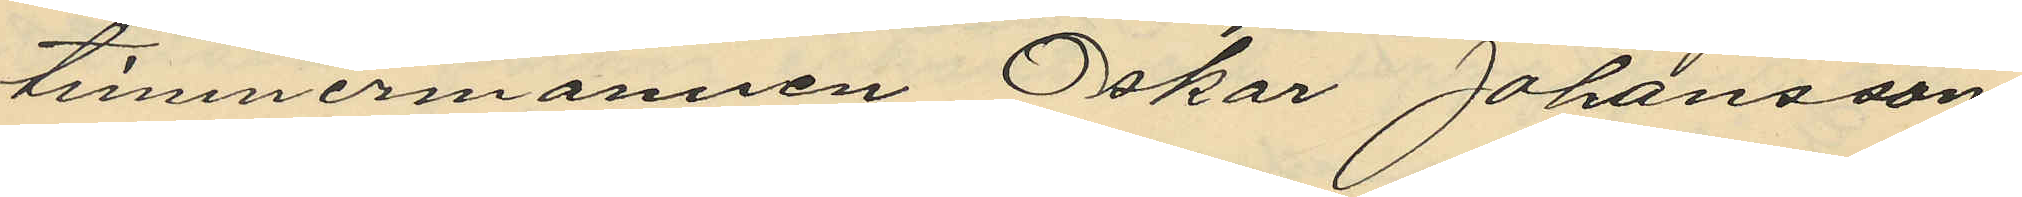timmermannen Oskar Johansson
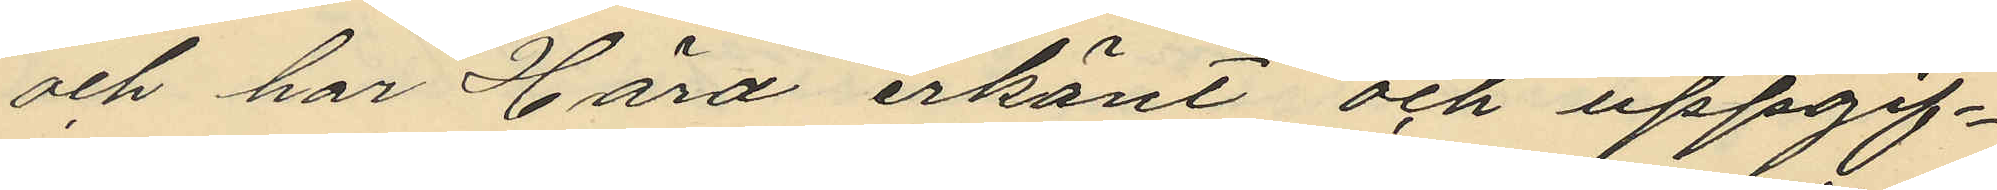och har Hård erkänt och uppgif¬
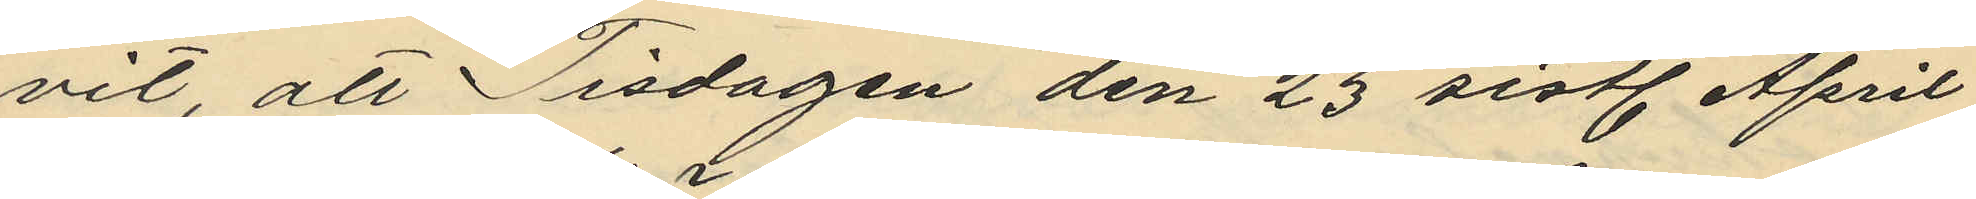vit, att Tisdagen den 23 sistl. April
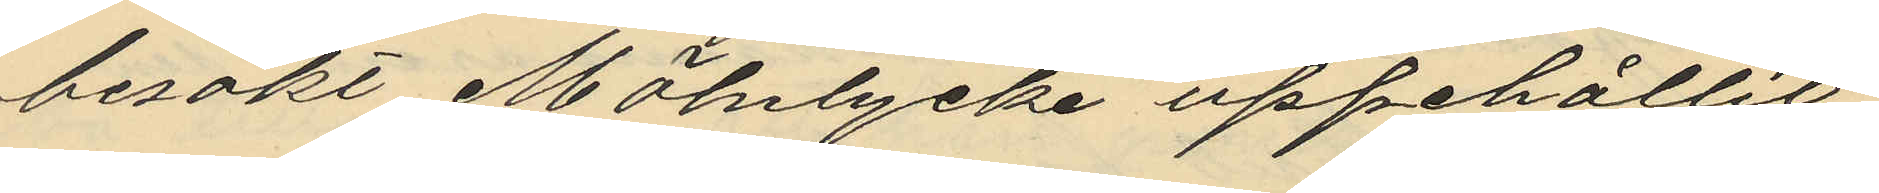besökt Mölnycke uppehållit
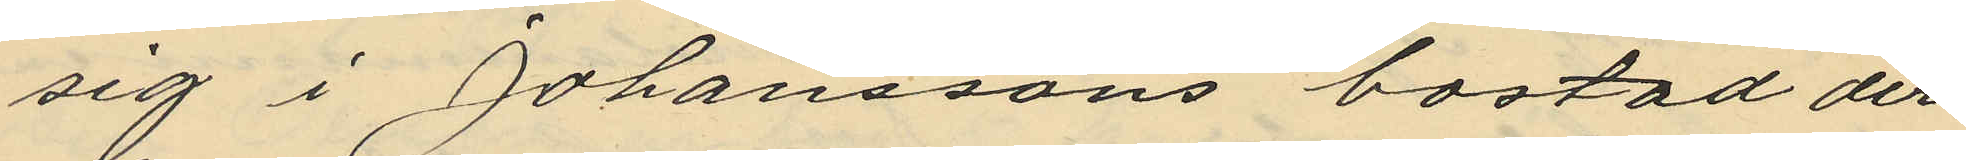sig i Johanssons bostad der
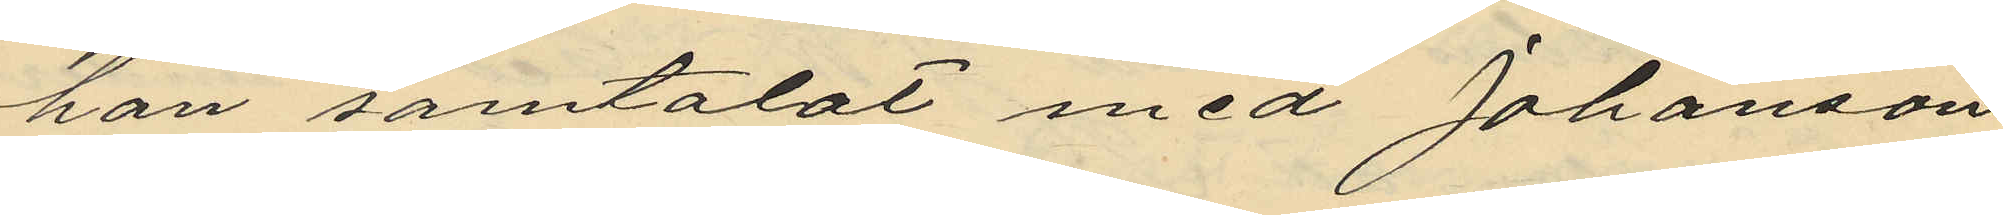han samtalat med Johanson
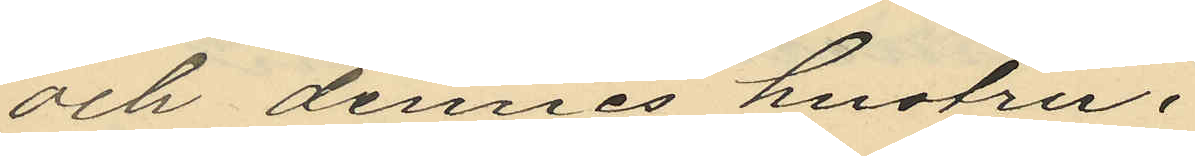och dennes hustru
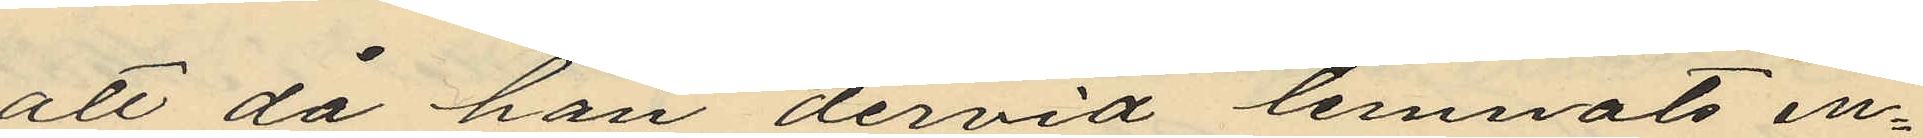att då han dervid lemnats en¬
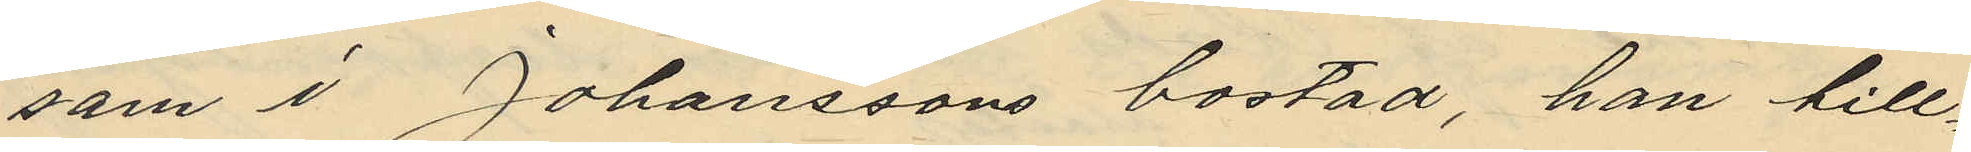som i Johanssons bostad, han till¬
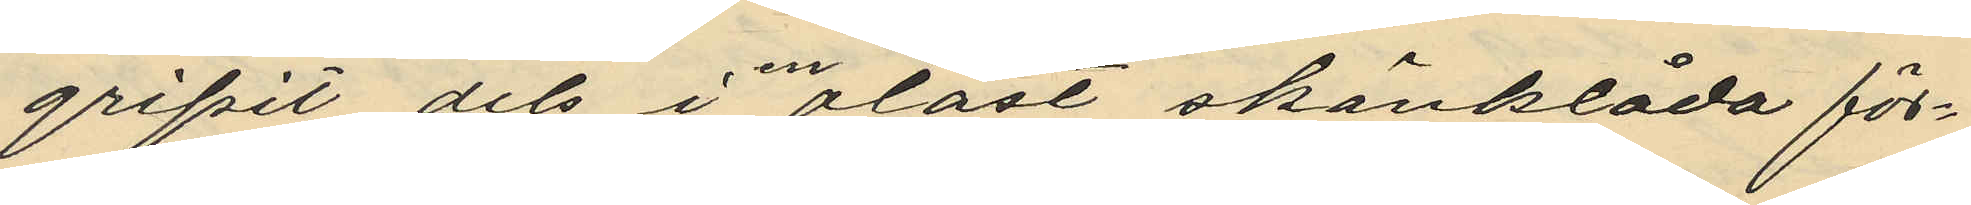gripit dels i en olåst skänklåda för¬
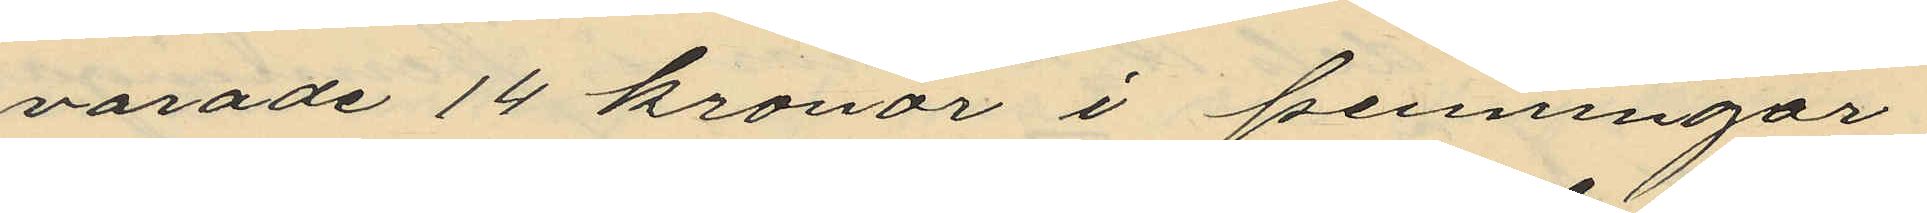varade 14 kronor i penningar
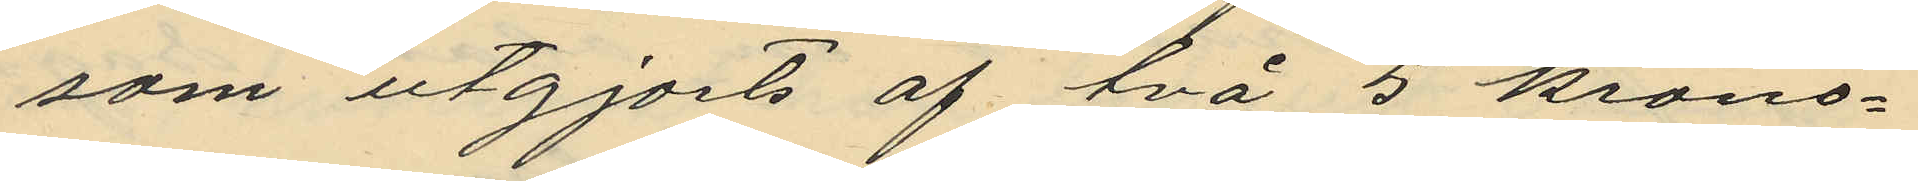som utgjorts af två 5 krono¬
